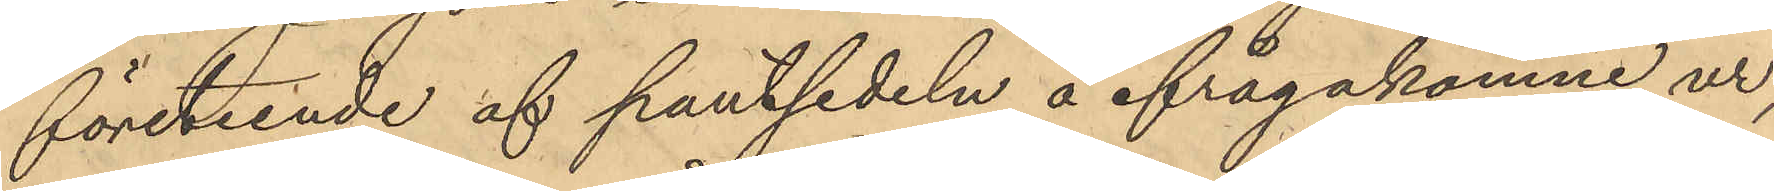företeende af pantsedeln å ifrågakomne ur,
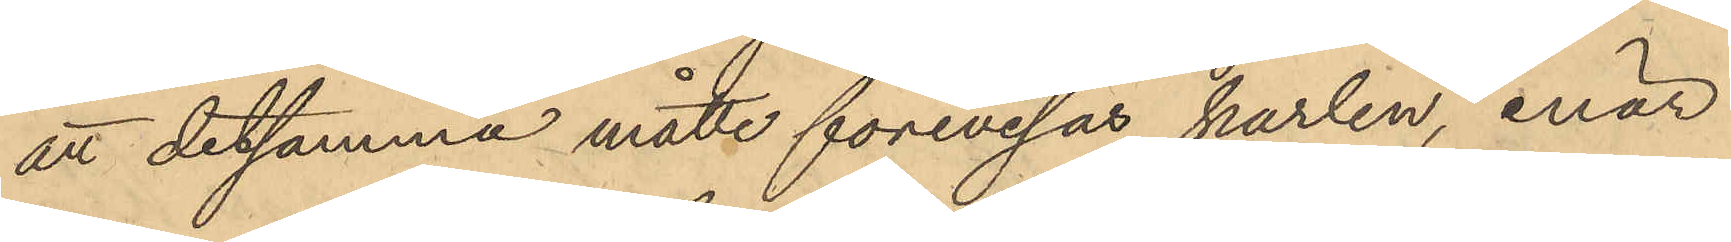att detsamma måtte förevisas karlen, enär
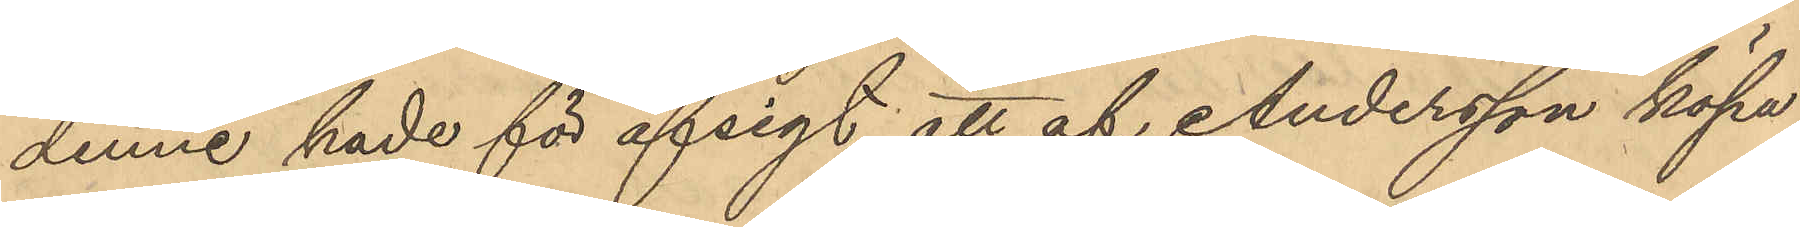denne hade för afsigt att af Andersson köpa
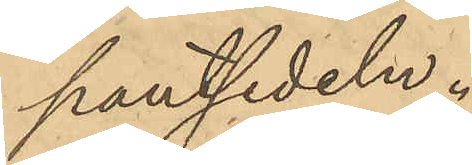pantsedeln.
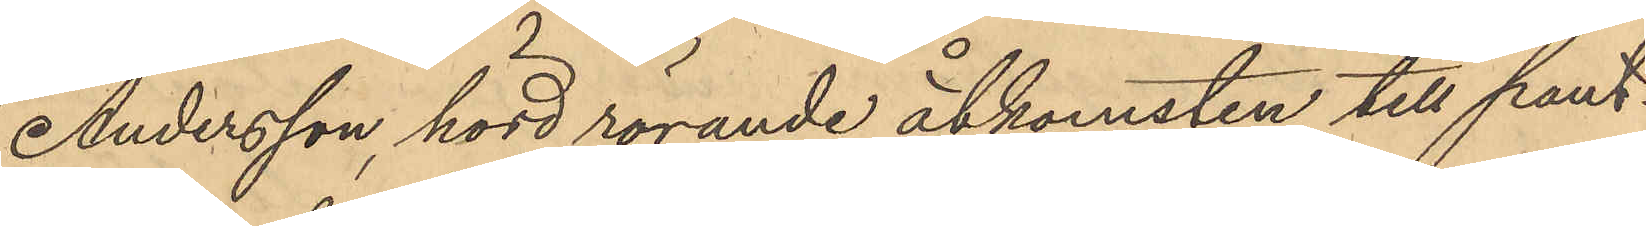Andersson, hörd rörande åtkomsten till pant¬
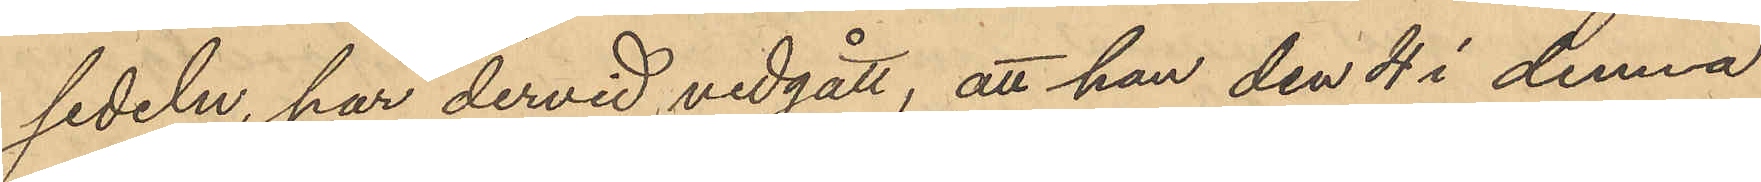sedeln, har dervid vedgått, att han den 4 i denna
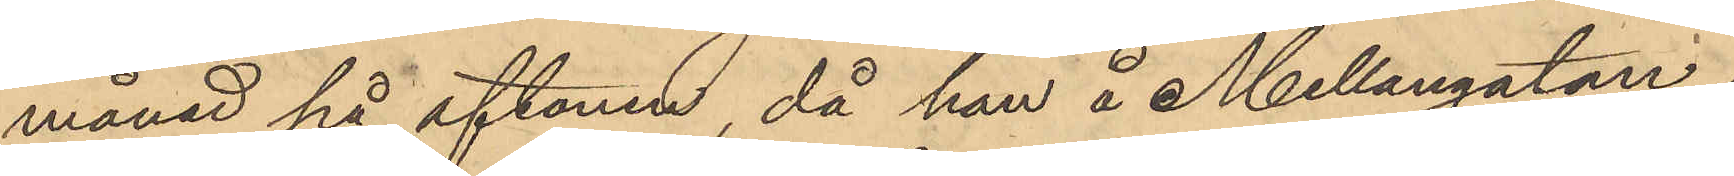månad på aftonen, då han å Mellangatan i
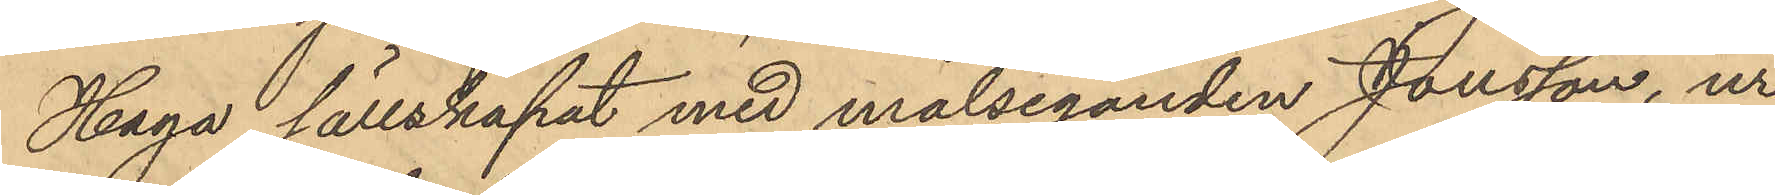Haga sällskapat med målseganden Jonsson, ur
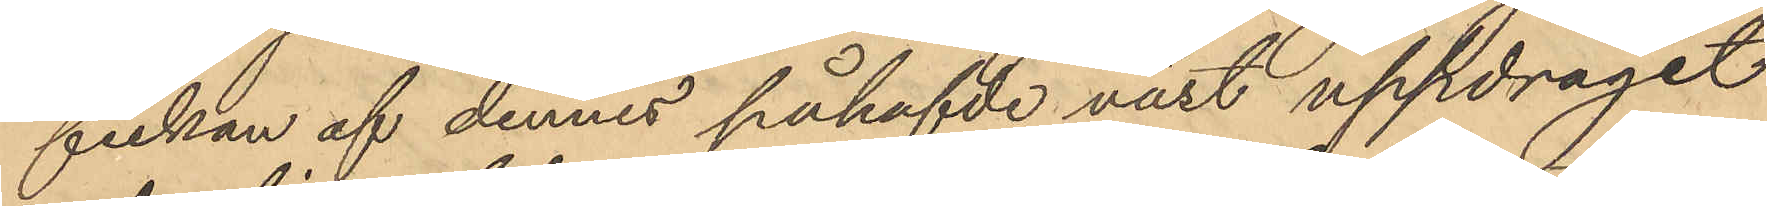fickan af dennes påhafvde väst uppdraget
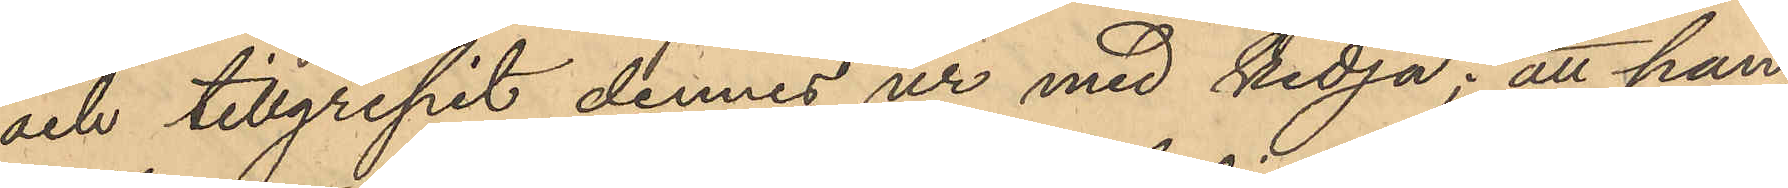och tillgripit dennes ur med kedja; att han,
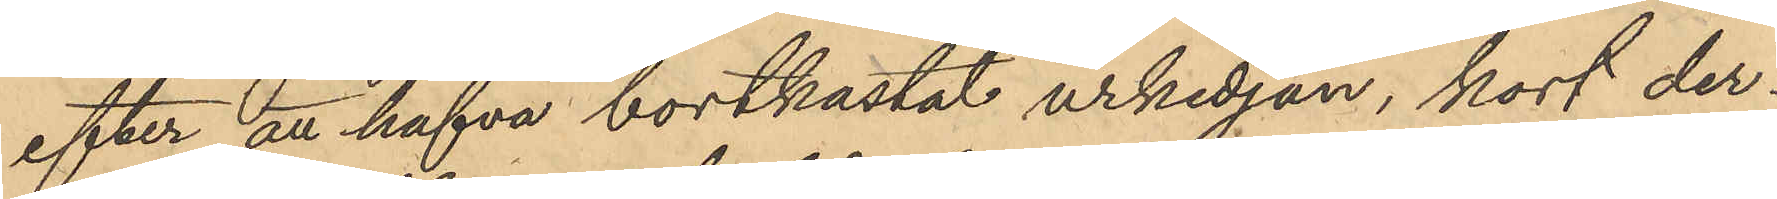efter att hafva bortkastat urkedjan, kort der¬
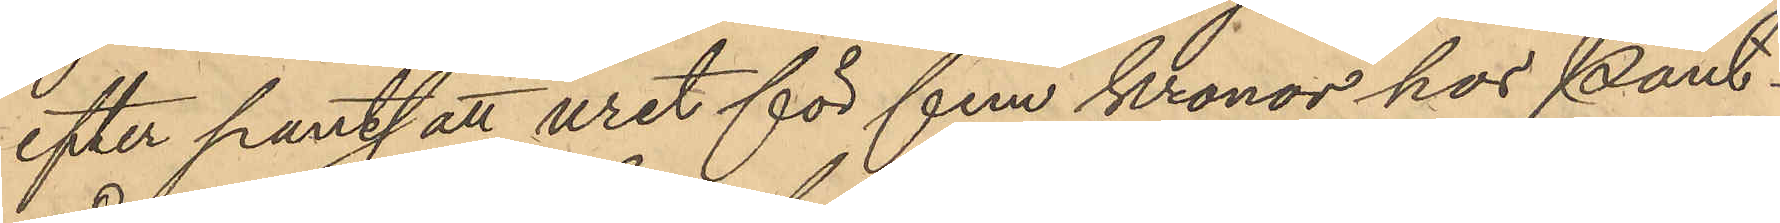efter pantsatt uret för fem kronor hos Pant¬
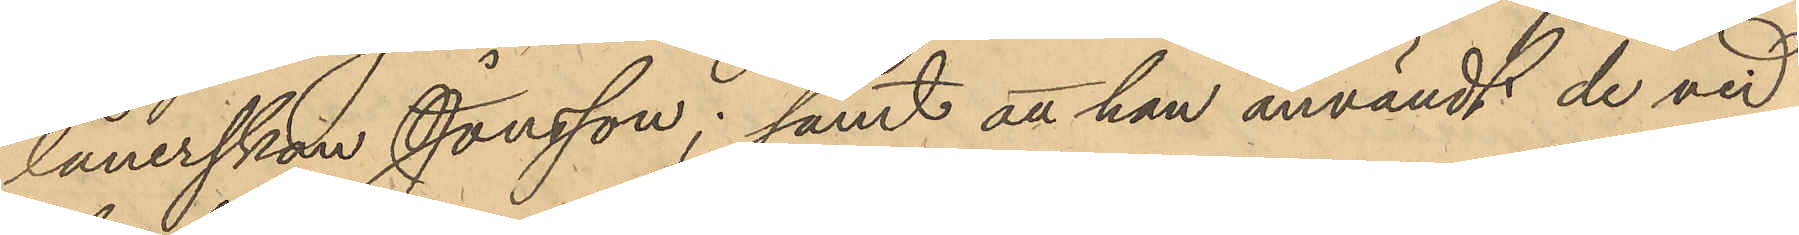lånerskan Jonsson; samt att han användt de vid
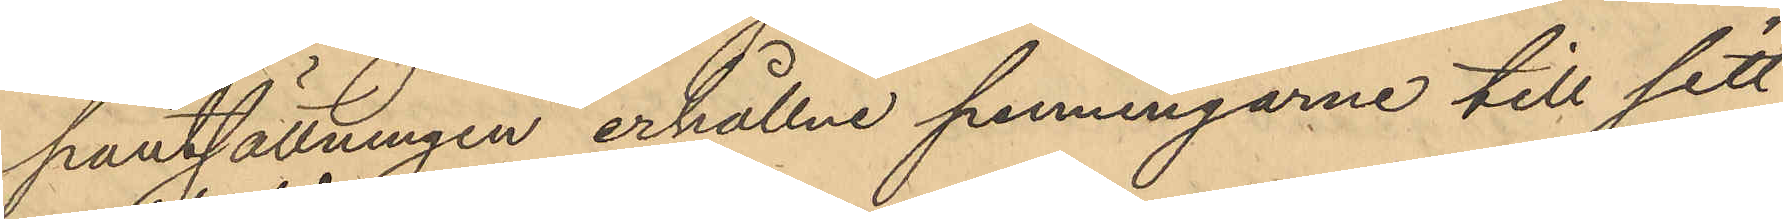pantsättningen erhållne penningarne till sitt
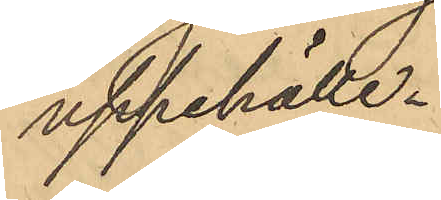uppehälle.
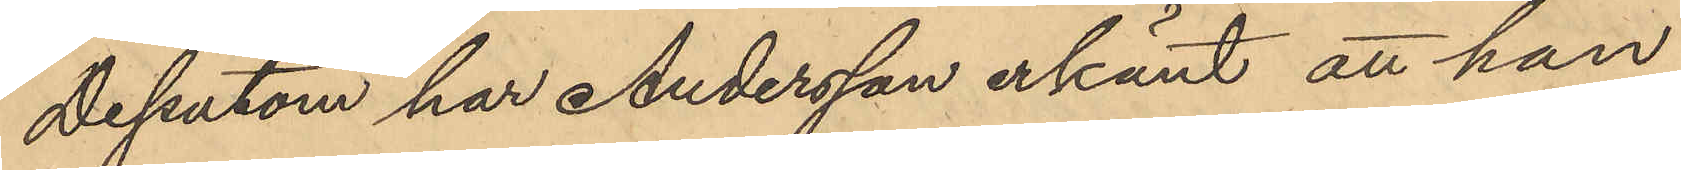Dessutom har Andersson erkänt att han
